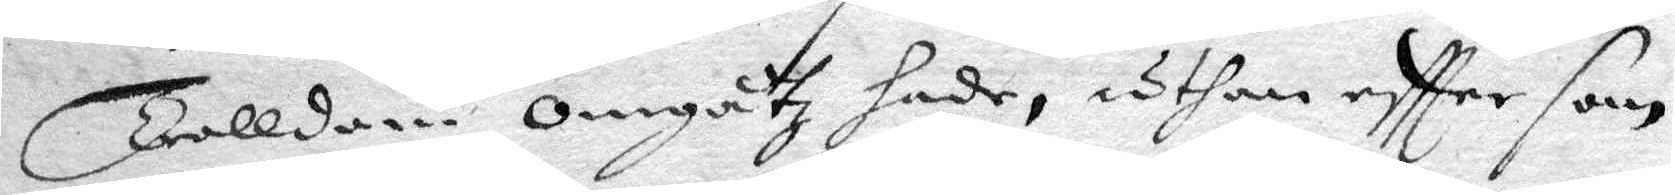Trolldom omgåtz hade, uthan eftter som
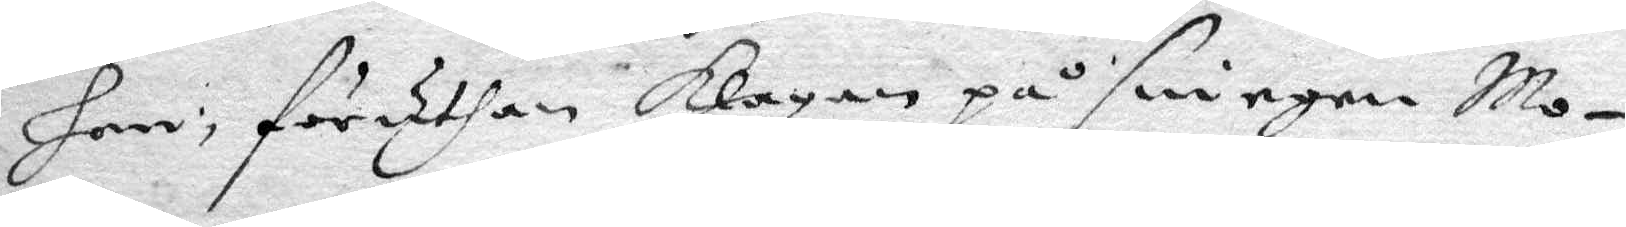han föruthan klagan på sin egen Mo¬
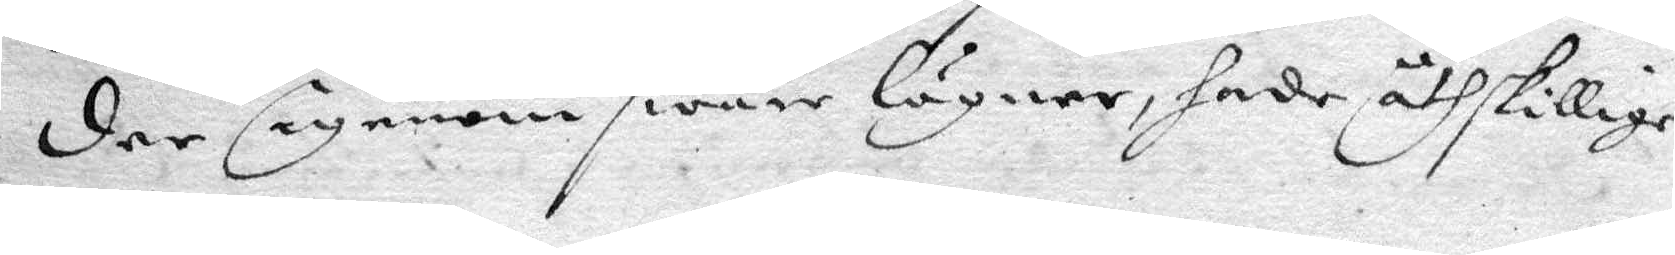der Egenom swåre lögner hade åthskillige
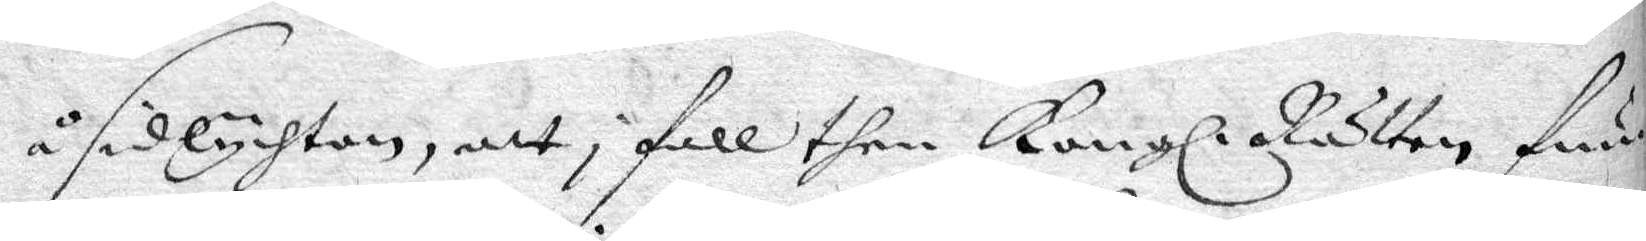å sidlychtan, att then Kongl. Rätten fun¬
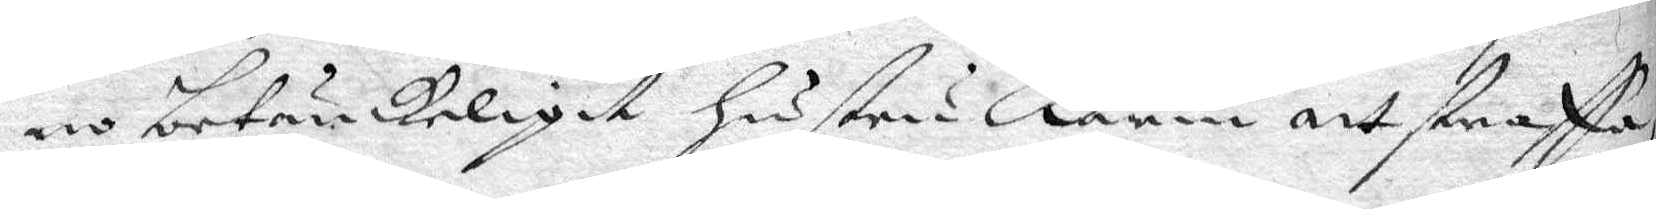no betänkeligit hustru Karin att straffa,
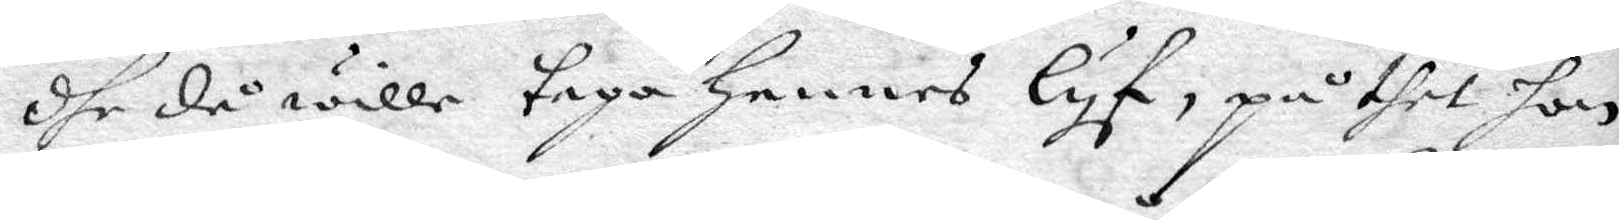dhe då wille taga hennes lyf, på thet hon
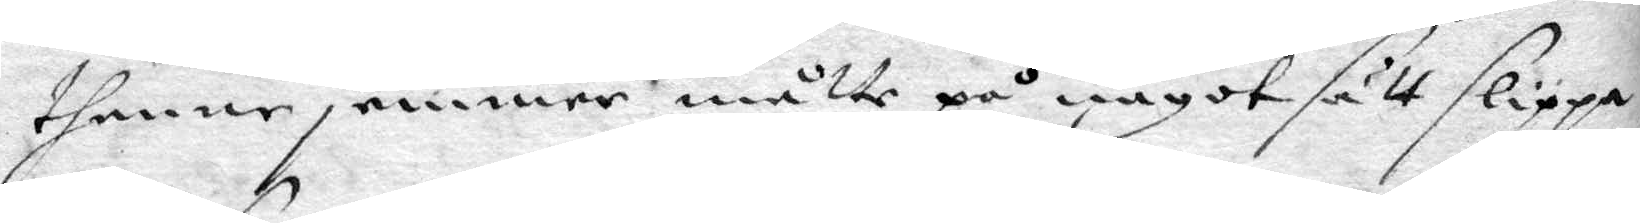thenne jemmer måtte på något sätt slippa
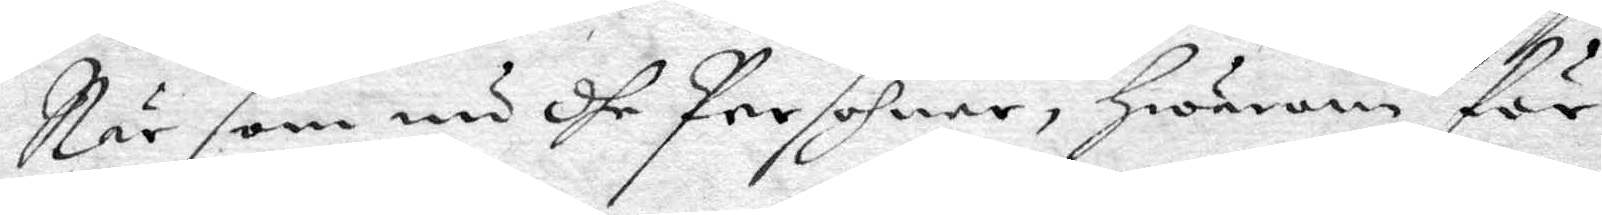När som nu dhe Persohner, hwarom för
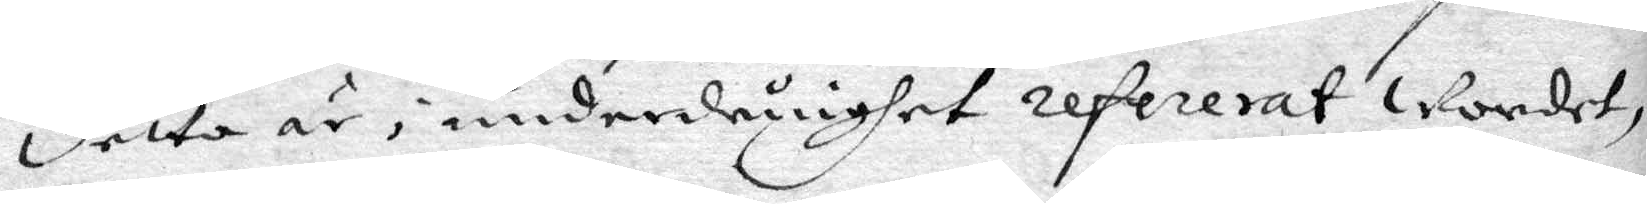detta är i underdåninghet refererat wordet,
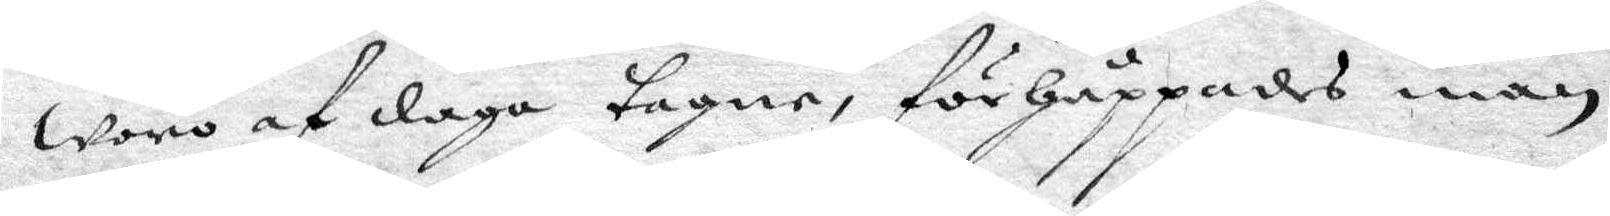woro af daga tagne, förhåppandes man
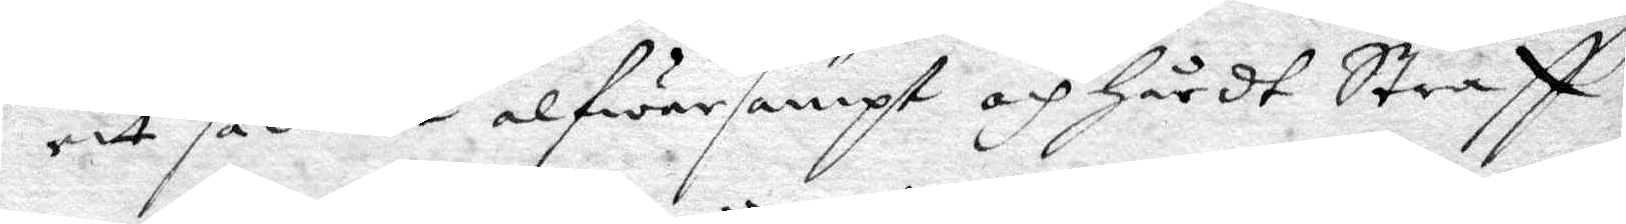att sådant alfwarsampt och hårdt Straf
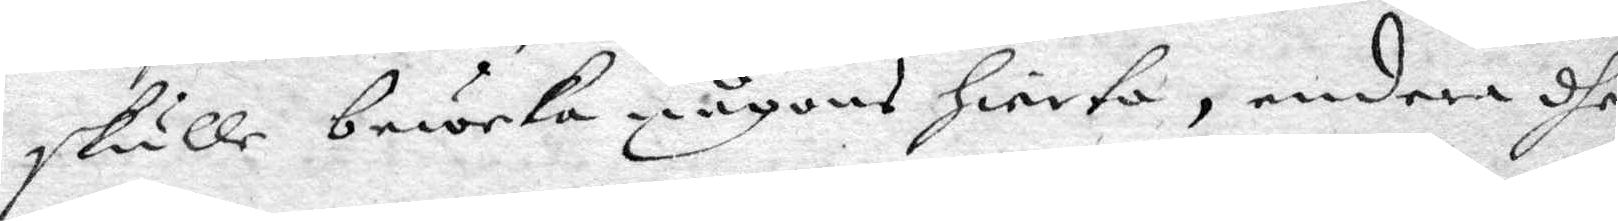skulle beweka någons jierta, endera dhe
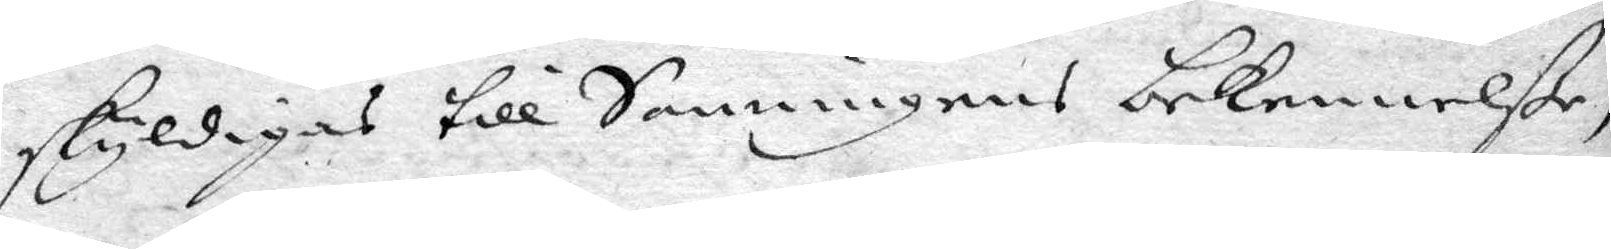skyldigas till Sanningens bekennelße,
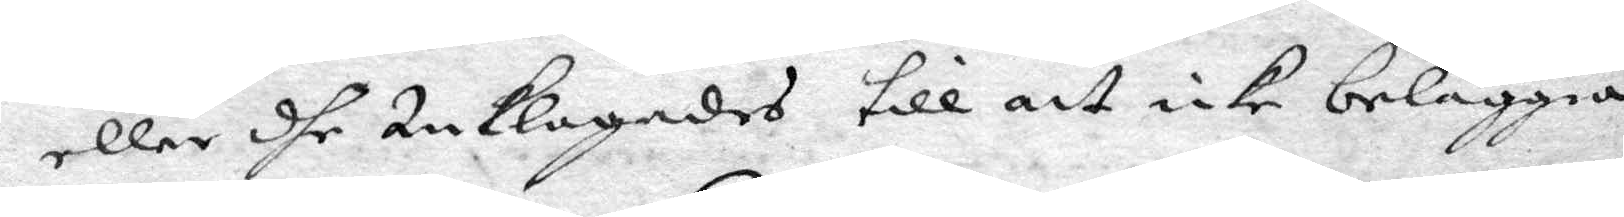eller dhe Anklagades till att icke belggia
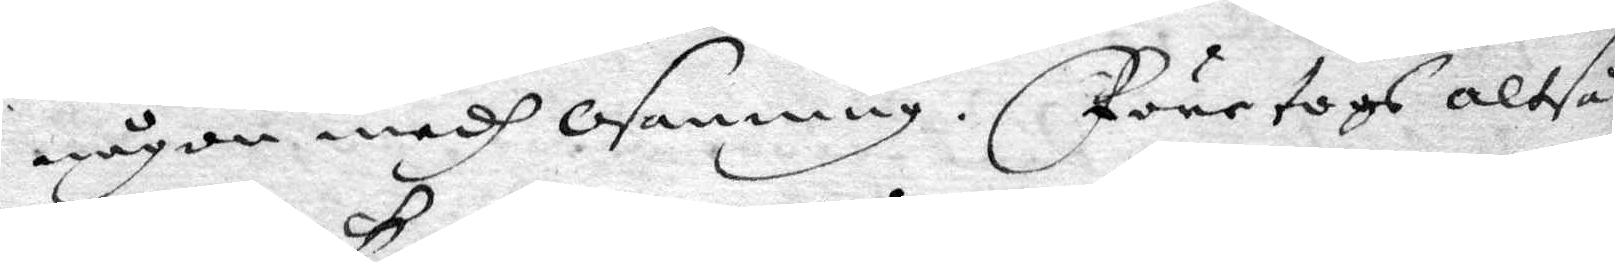någon medh osanning. Företogs altså
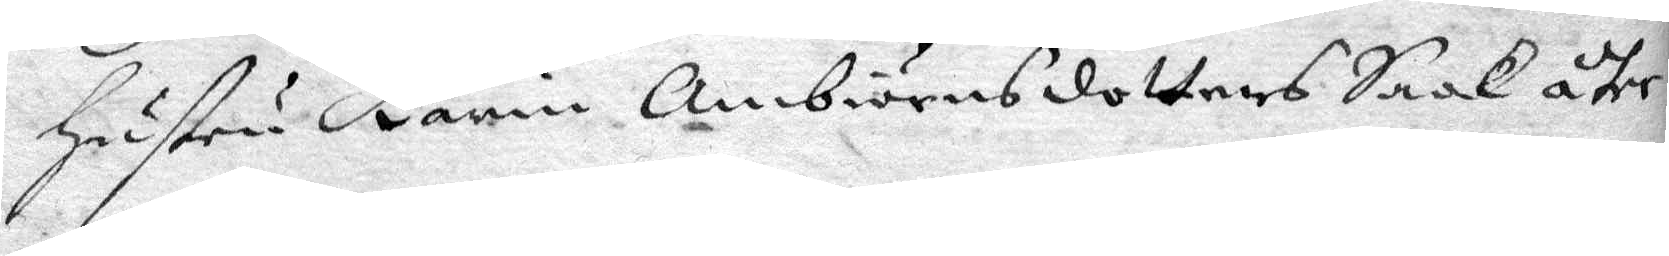hustru Karin Ambirnsdotters Saak åter
